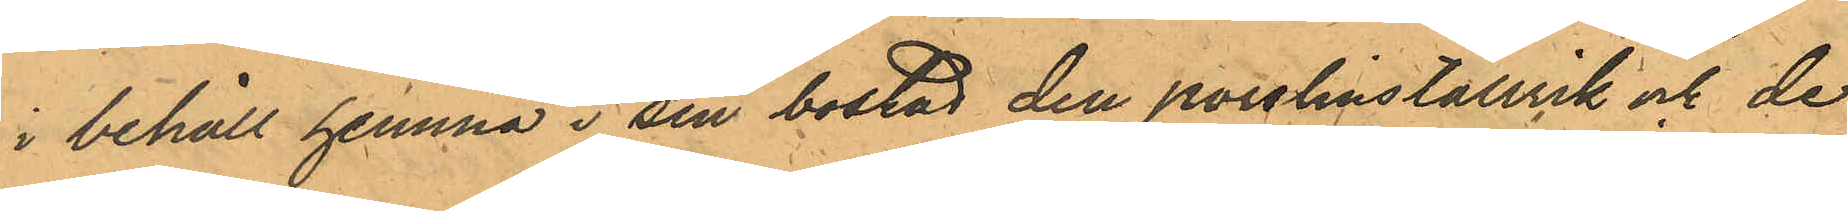i behåll hemma i sin bostad den porslinstallrik och de
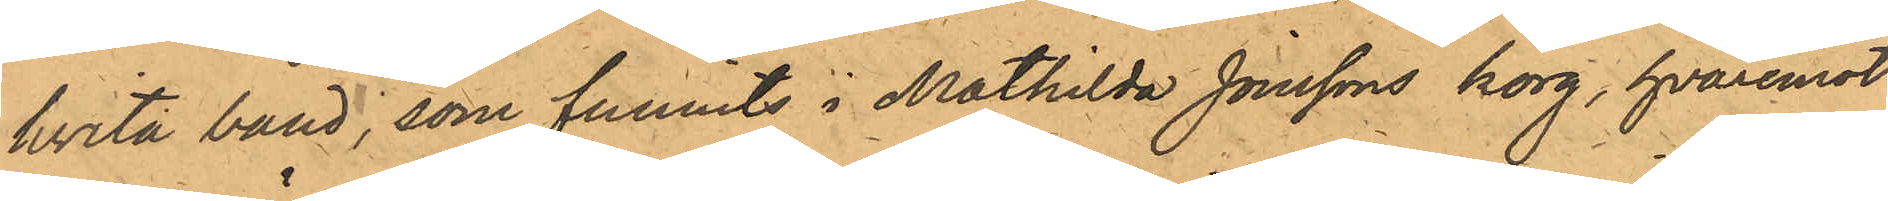hvita band, som funnits i Mathilda Jönssons korg, hvaremot
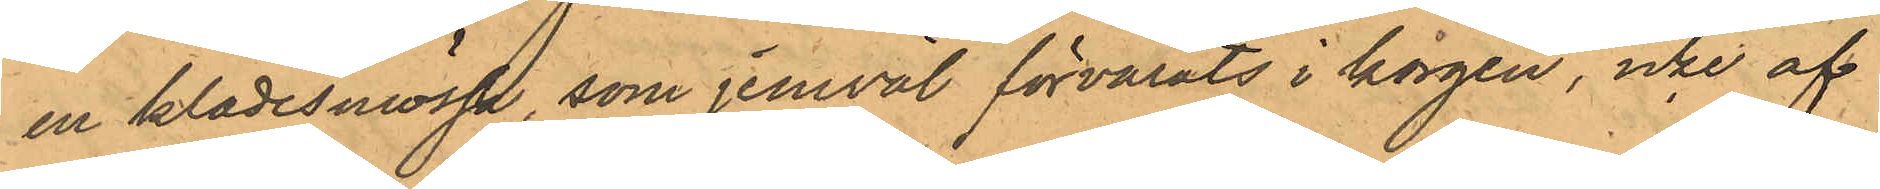en klädesmössa, som jemväl förvarats i korgen, icke af
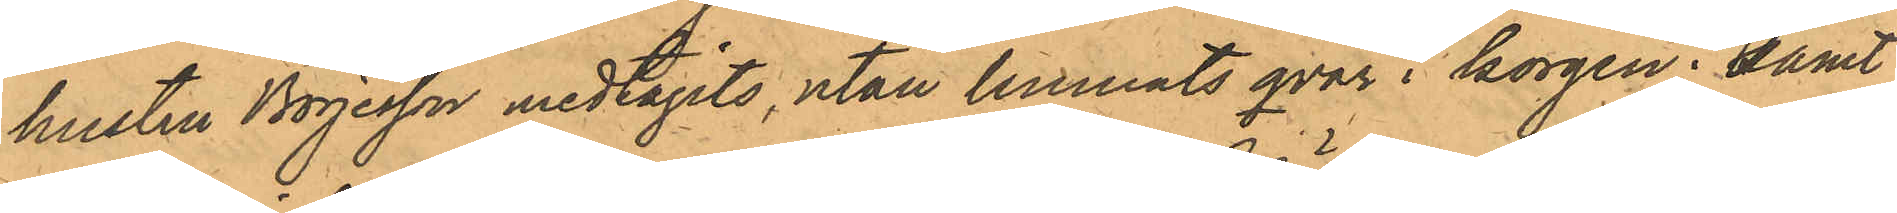hustru Börjesson medtagits, utan lemnats qvar i korgen; samt
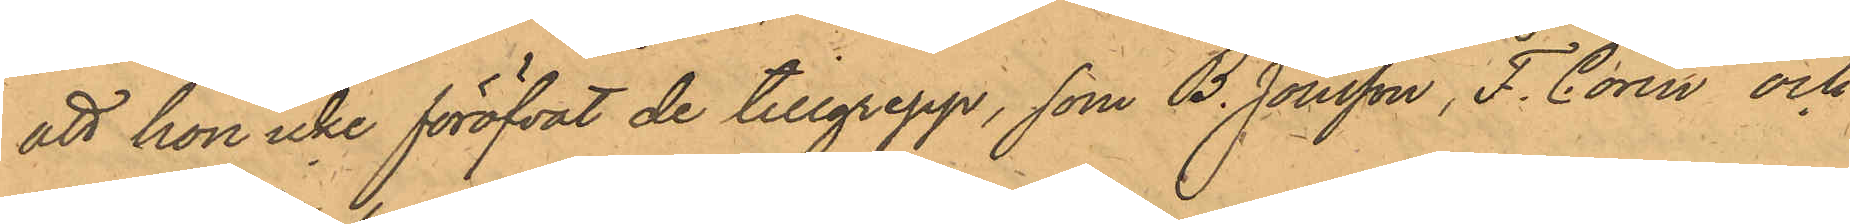att hon icke föröfvat de tillgrepp, som B. Jonsson, F. Corin och
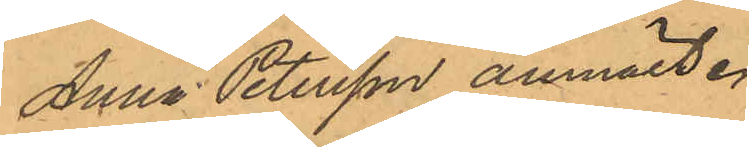Anna Petersson anmält.
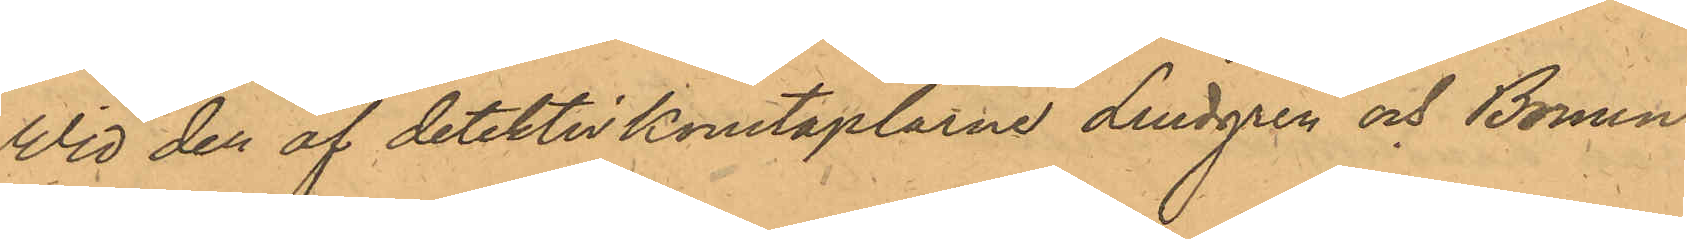Vid den af detektivkonstaplarne Lindgren och Bruun
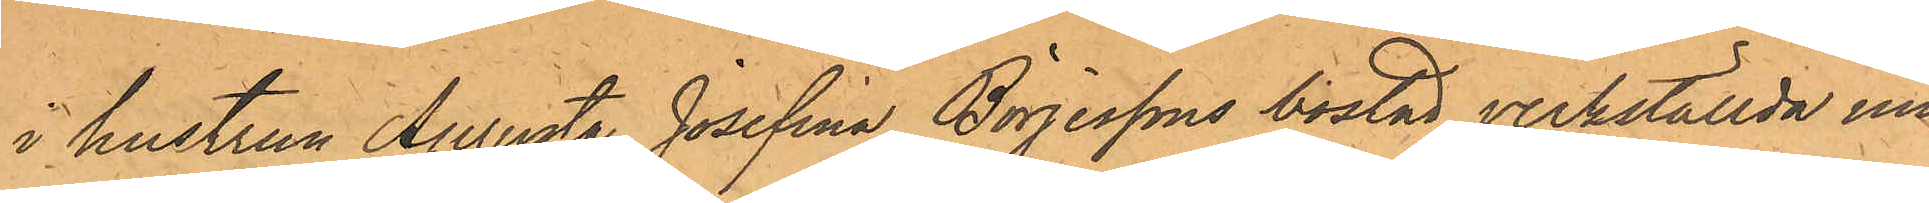i hustrun Aurusta Josefina Börjessons bostad verkställda un¬
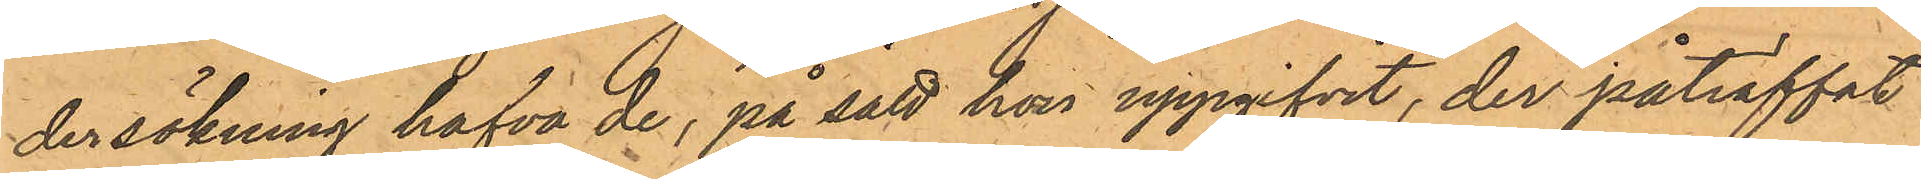dersökning hafva de; på sätt hon uppgifvit, der påträffat
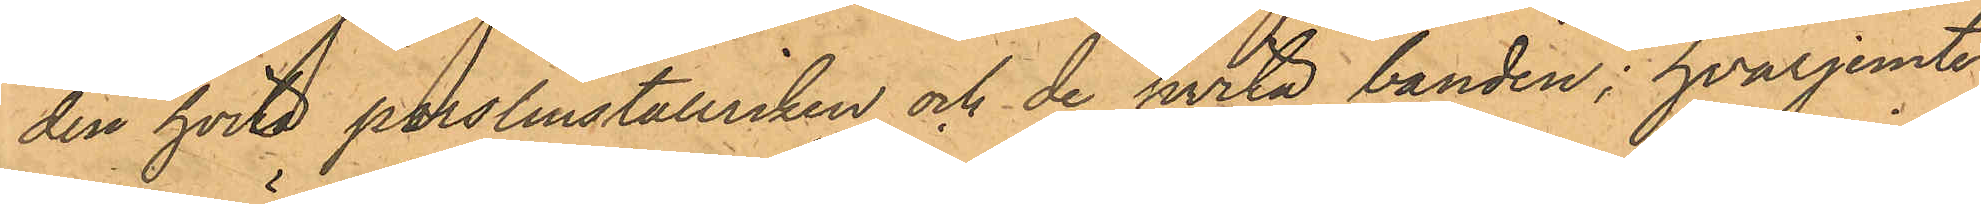den hvita porslinstallriken och de hvita banden; hvarjemte
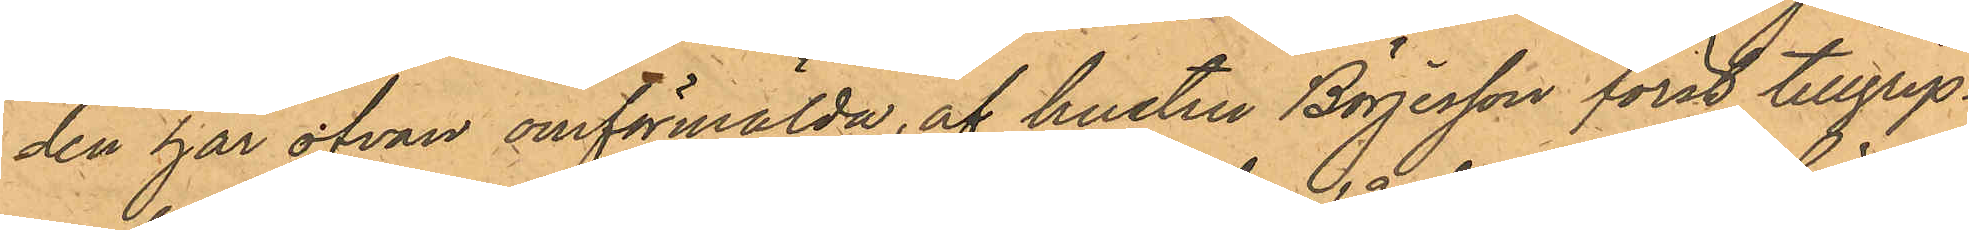den här ofvan omförmälda, af hustru Börjesson först tillgrep¬
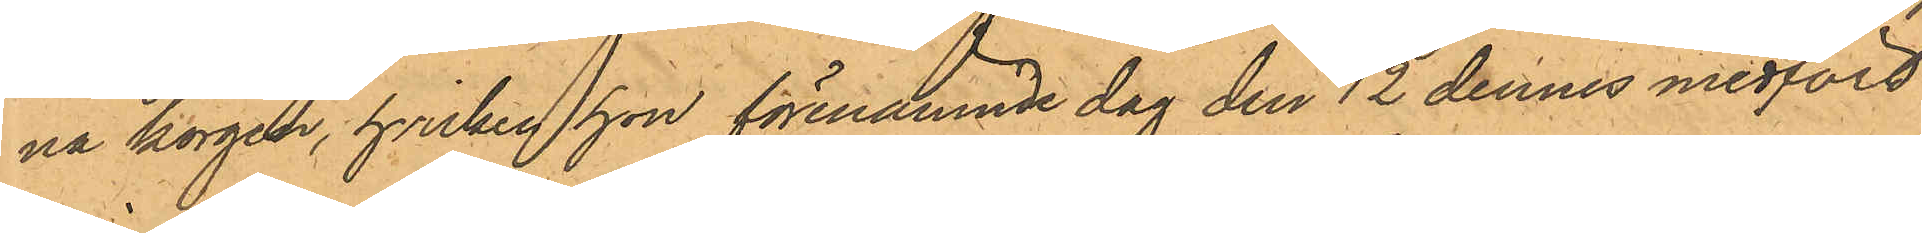na korgen, hvilken hon förenämnde dag den 12 dennes medfört
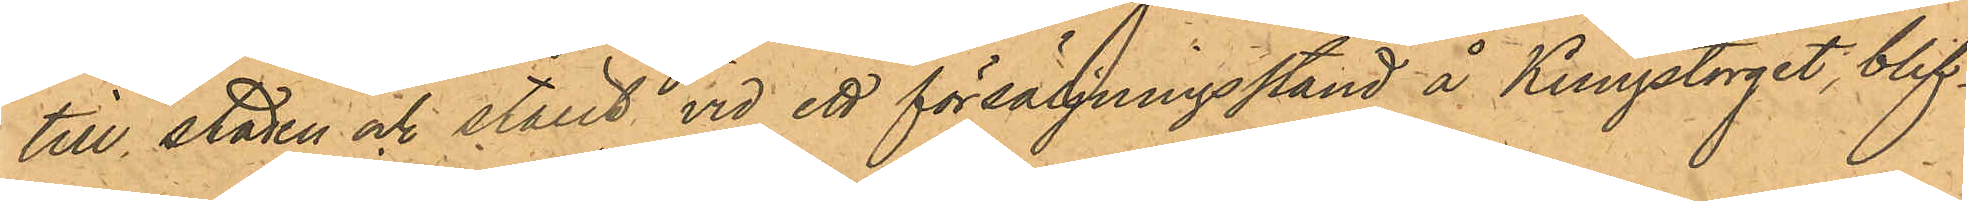till staden och ställt vid ett försäljningsstånd å Kungstorget, blif¬
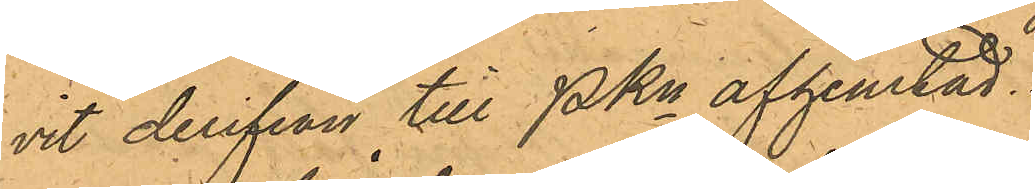vit derifrån till PKn afhemtad.
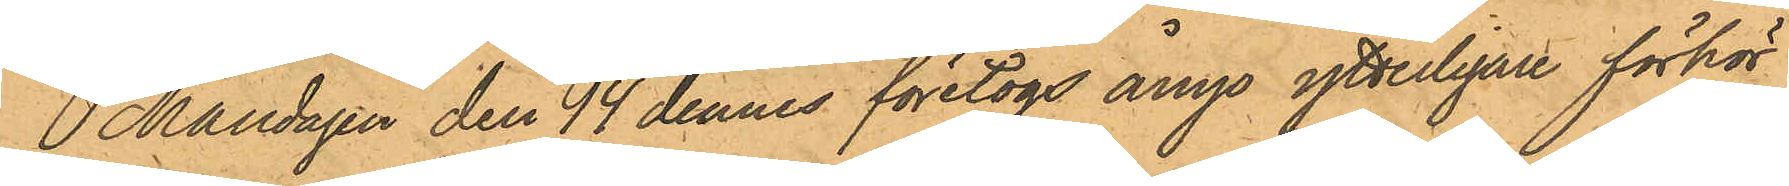Måndagen den 14 dennes företogs ånyo ytterligare förhör
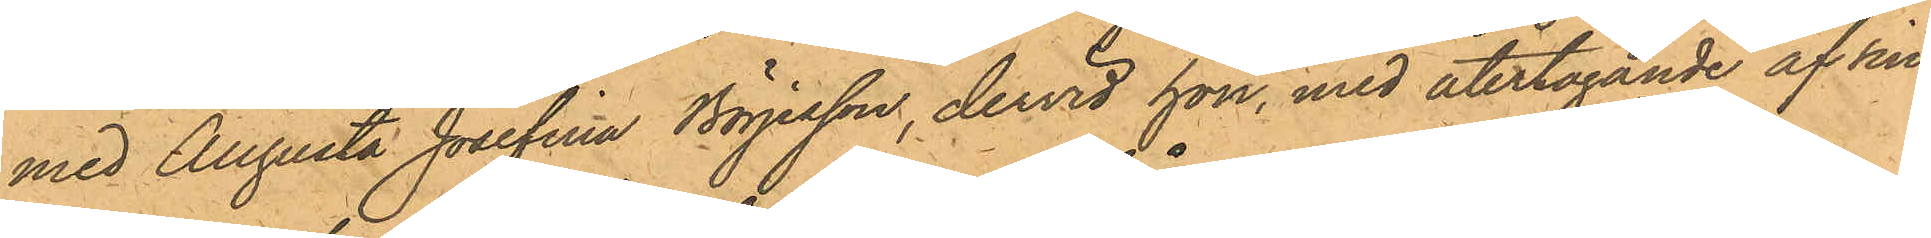med Augusta Josefina Börjesson dervid hon, med återtagande af sin
